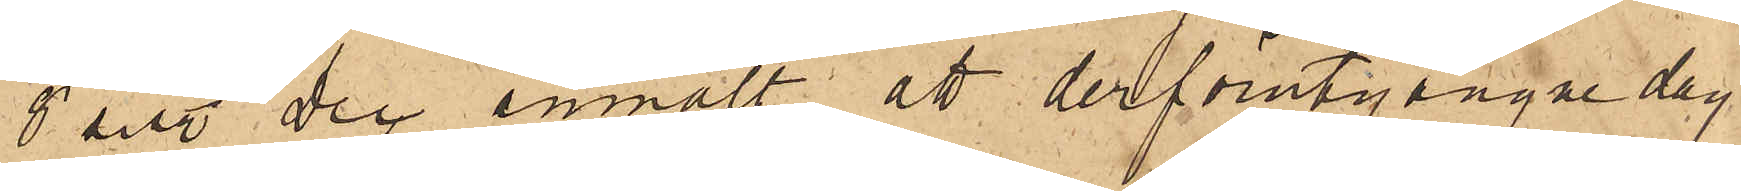8 sist. Dec anmält, att derförutgångne dag
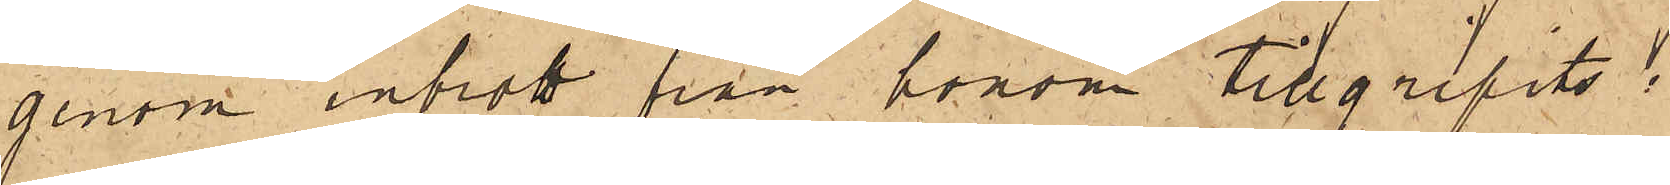genom inbrott från honom tillgripits:
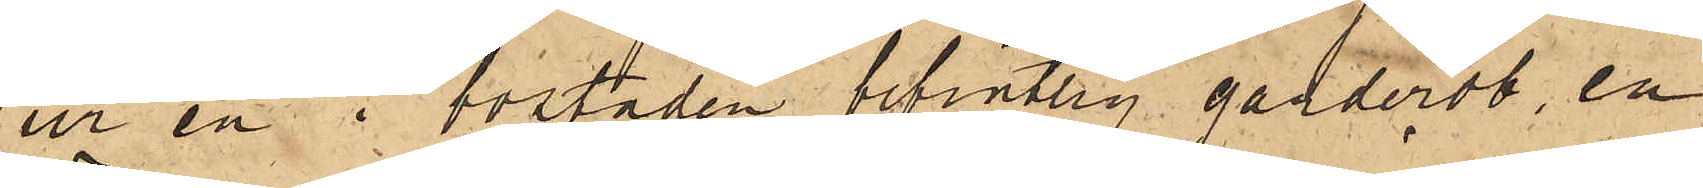ur en i bostaden befintlig garderob, en
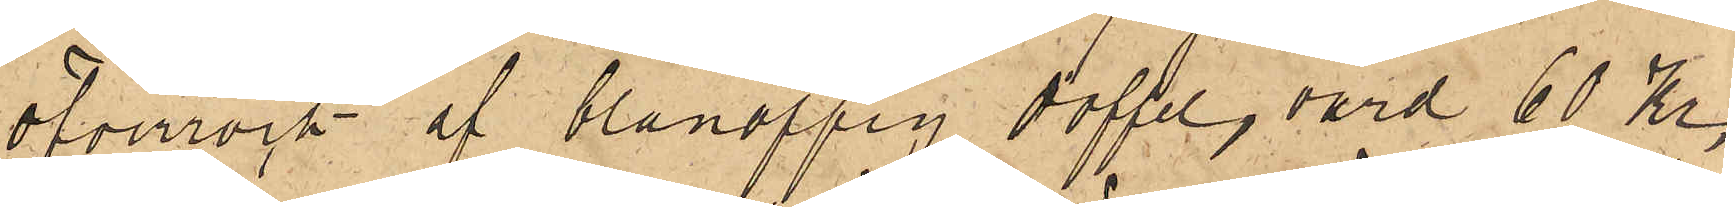öfverrock af blånoppig doffel, värd 60 Kr,
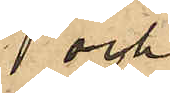och
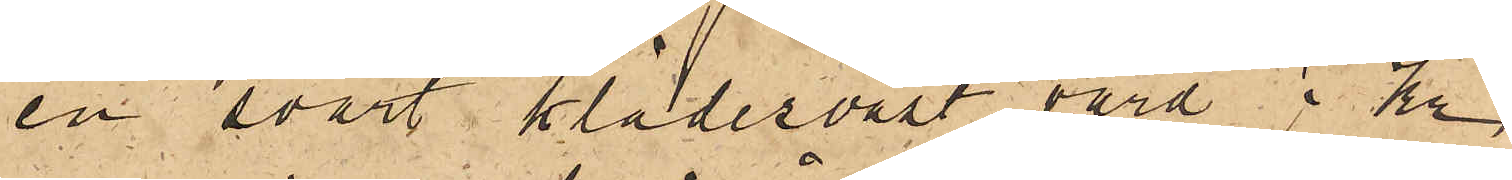en svart klädesväst, värd 7 Kr,
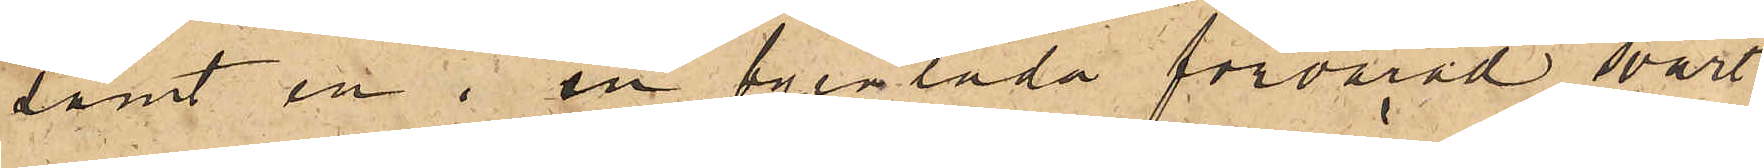samt en i en byrålåda förvarad svart
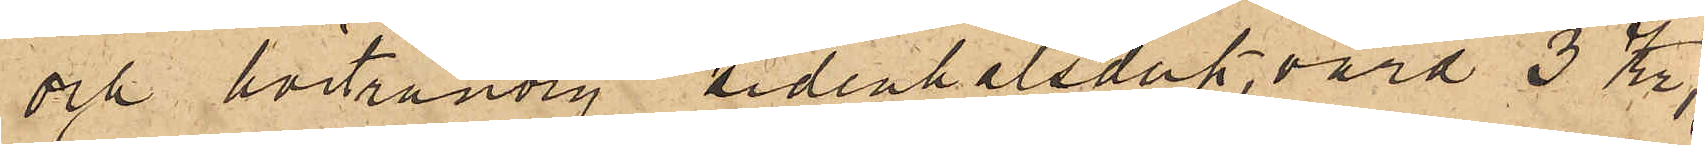och hvitrandig sidenhalsduk, värd 3 Kr;
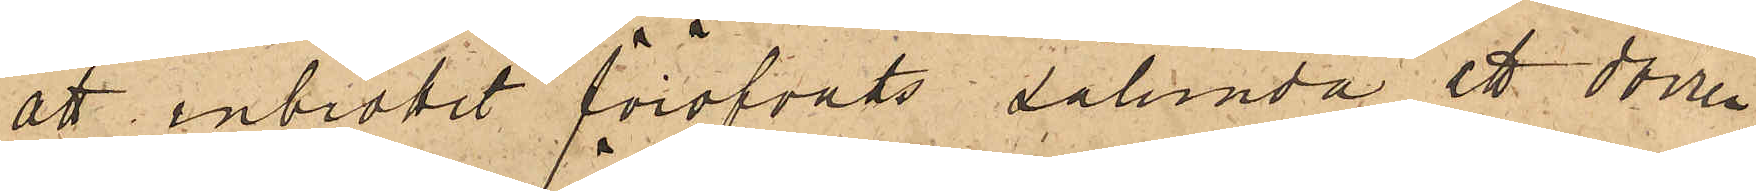att inbrottet föröfvats sålunda att dörren
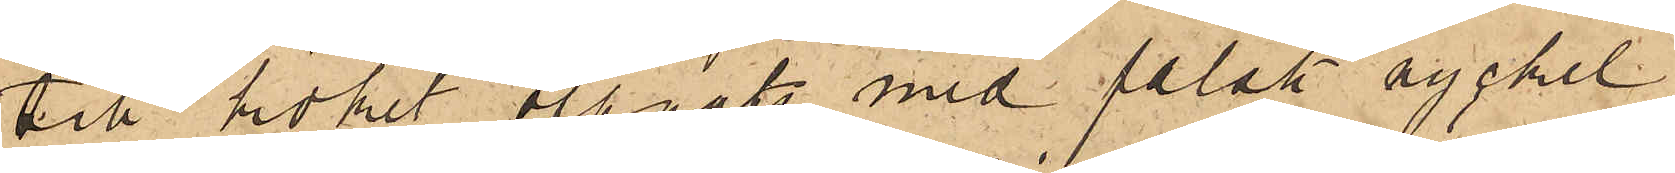till köket öppnats med falsk nyckel,
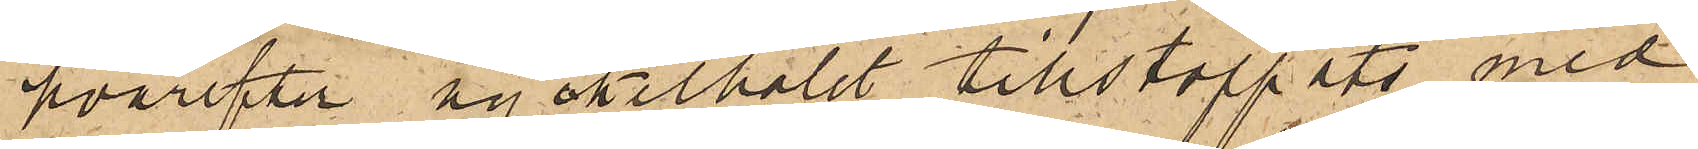hvarefter nyckelhålet tillstoppats med
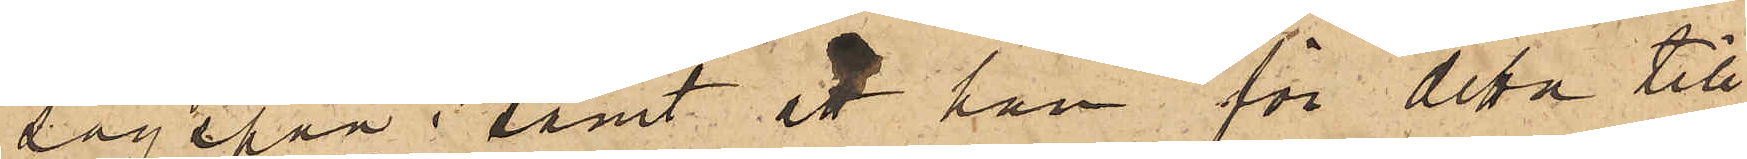sågspån; samt att han för detta till¬
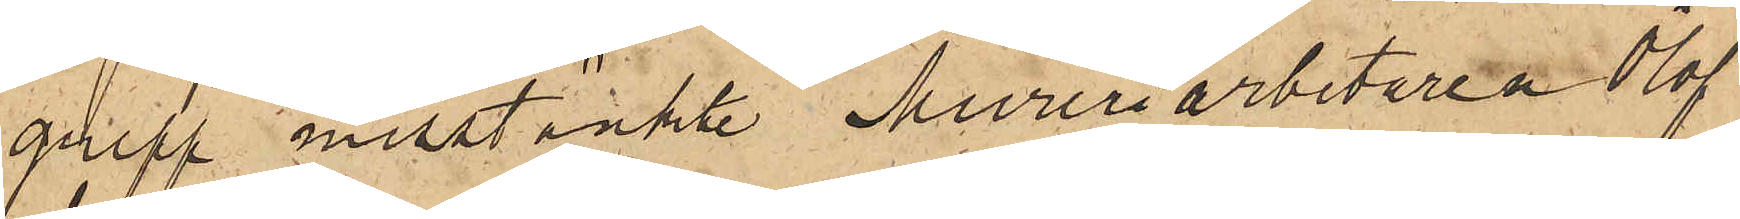grepp misstänkte Mureriarbetaren Olof
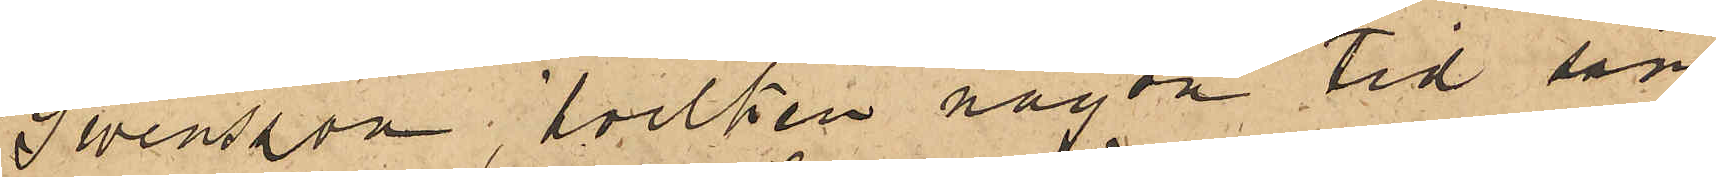Swensson, hvilken någon tid sam¬
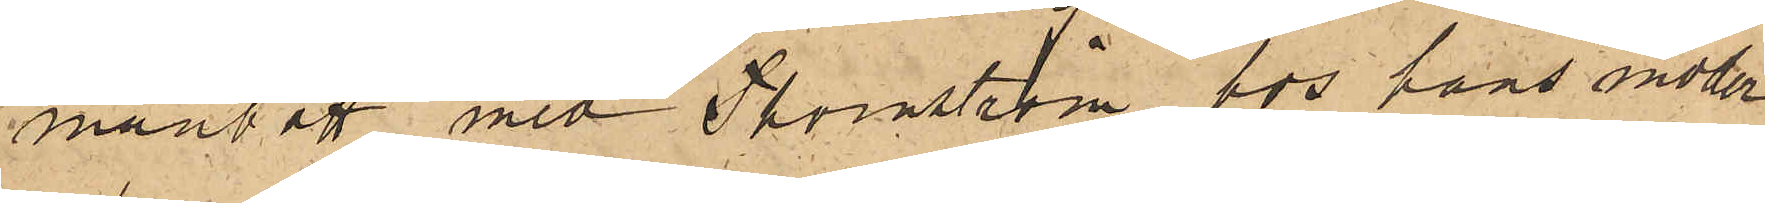manbott med Thornström hos hans moder
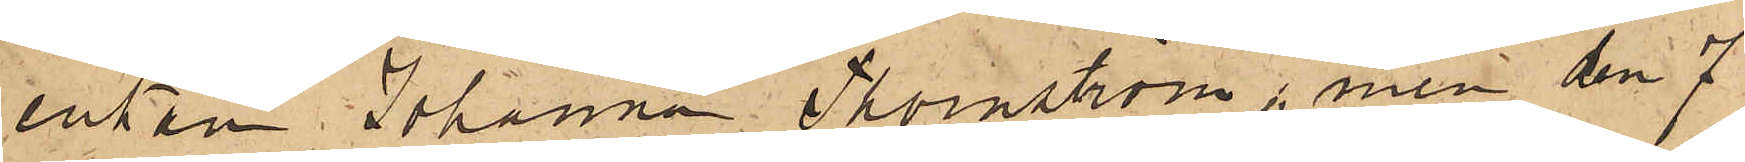enkan Johanna Thornström, men den 7
